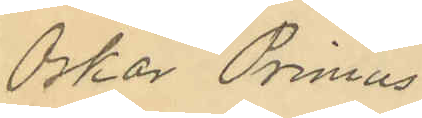Oskar Primus
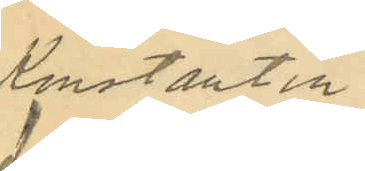Konstantin
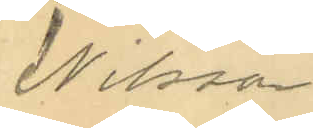Nilsson
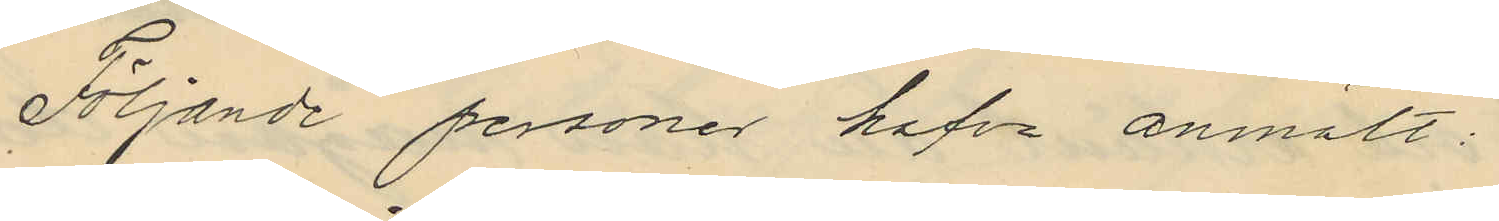Följande personer hafva anmält:
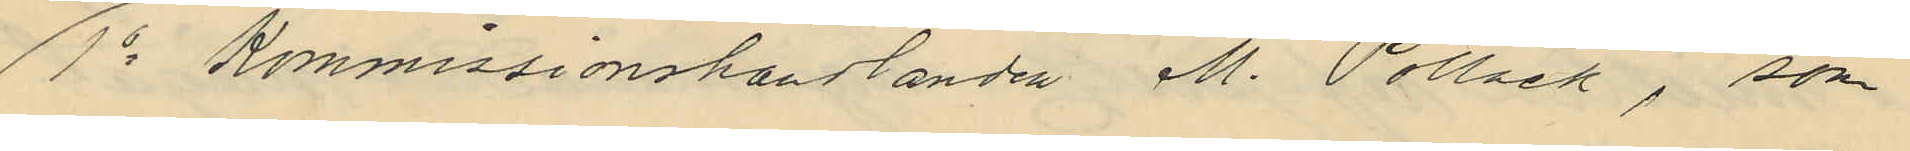1o Kommissionshandlanden M. Pollack, som
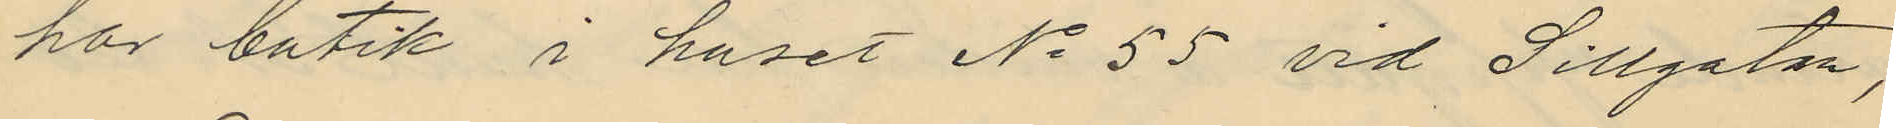har butik i huset No 55 vid Sillgatan,
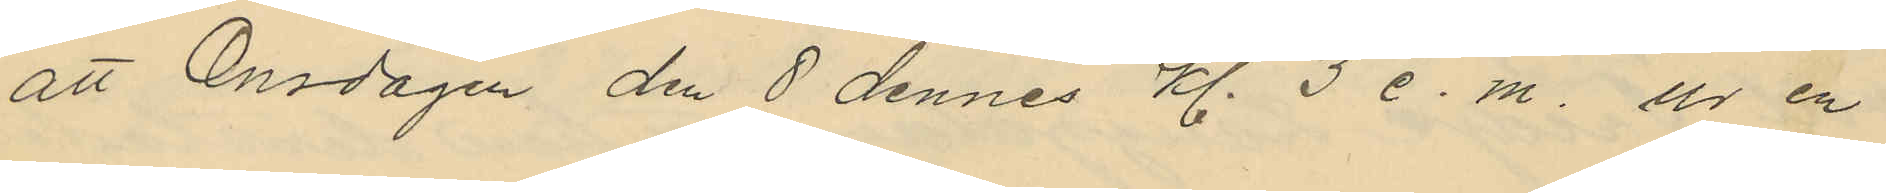att Onsdagen den 8 dennes kl. 3 e. m. ur en
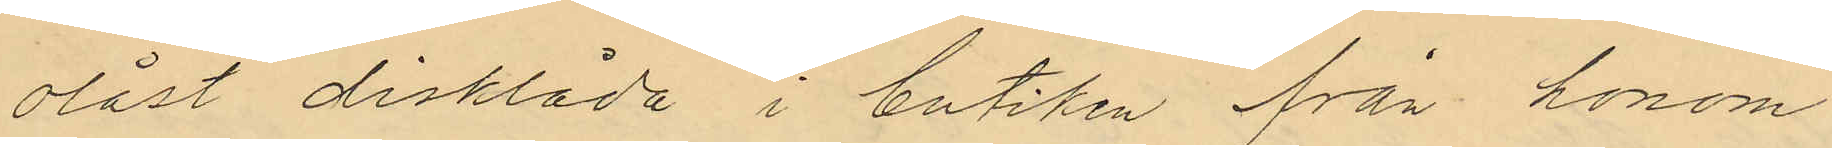olåst disklåda i butiken från honom
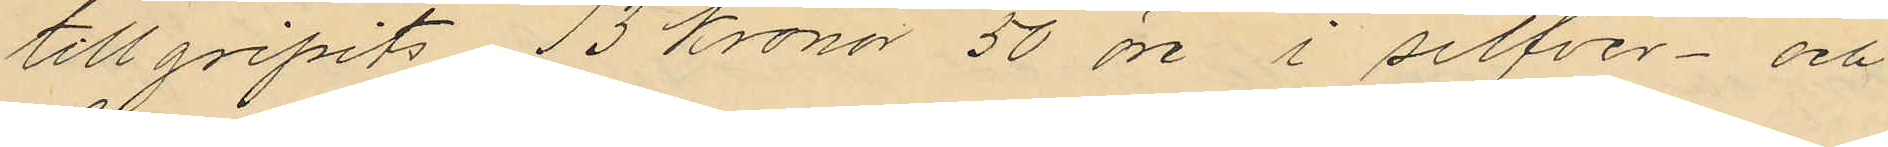tillgripits 13 Kronor 50 öre i silfver- och
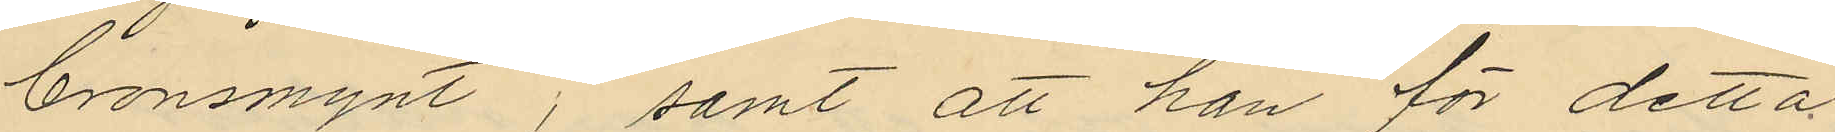bronsmynt; samt att han för detta
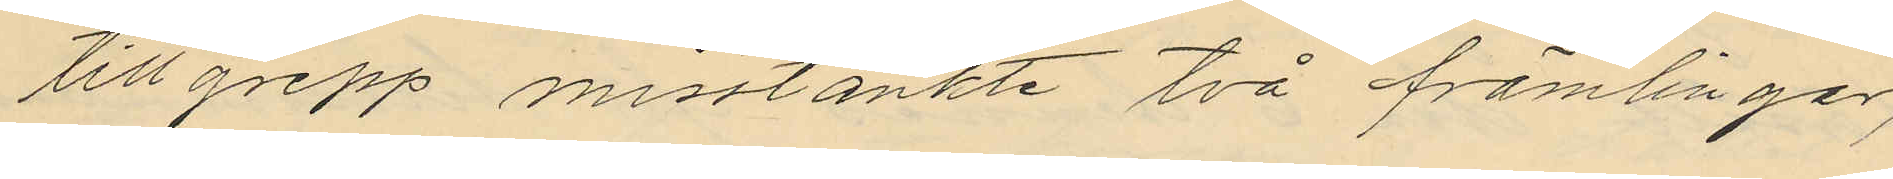tillgrepp misstänkte två främlingar,
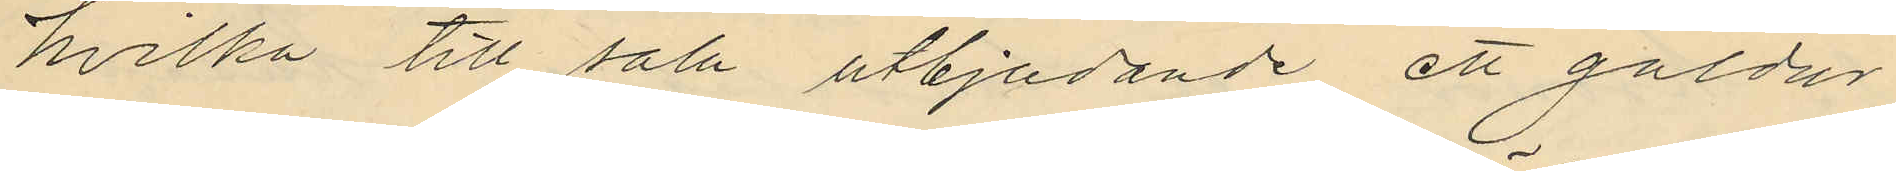hvilka till salu utbjudande ett guldur
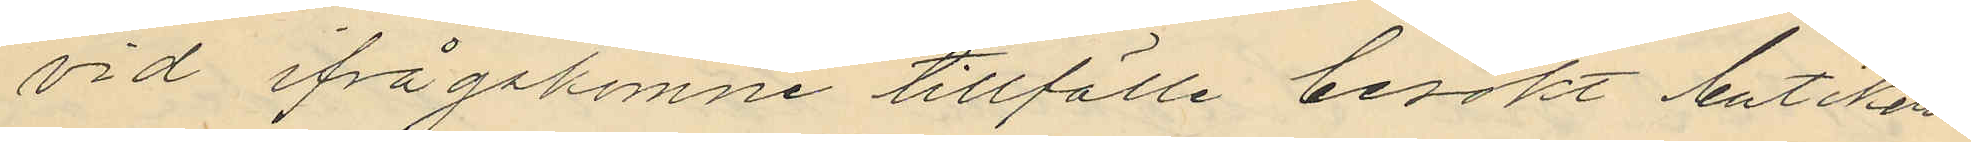vid ifrågakomne tillfälle besökt butiken¬
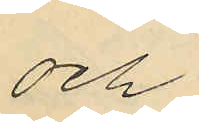och
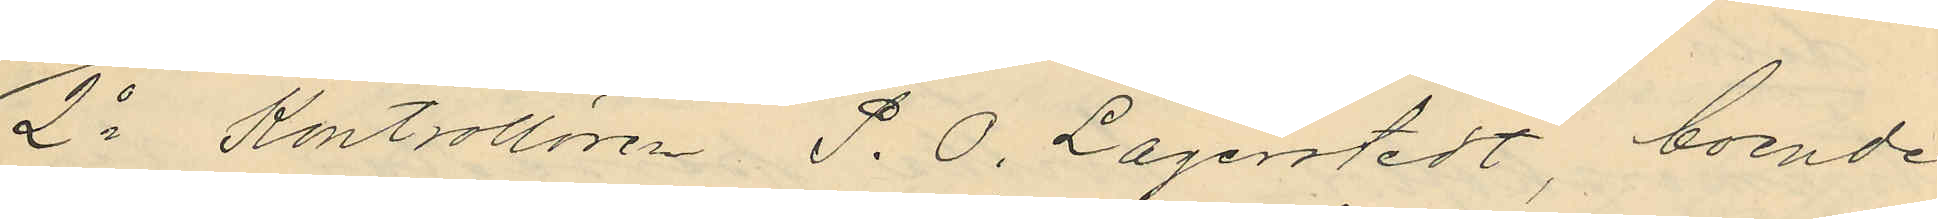2o Kontrollören P. O. Lagerstedt, boende
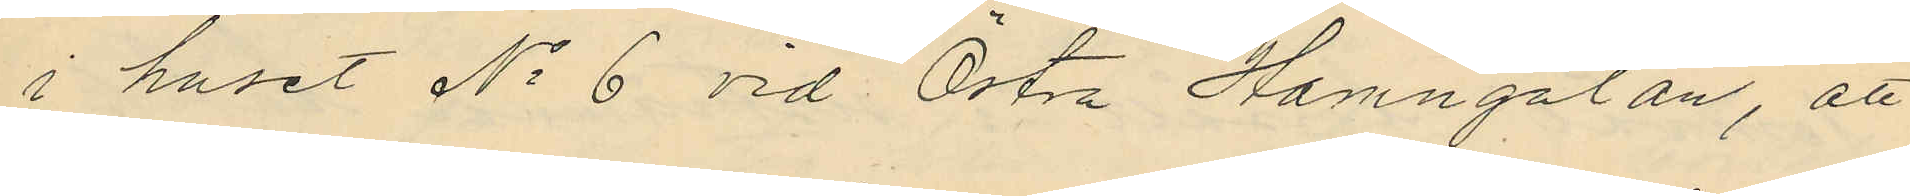i huset No 6 vid Östra Hamngatan, att
